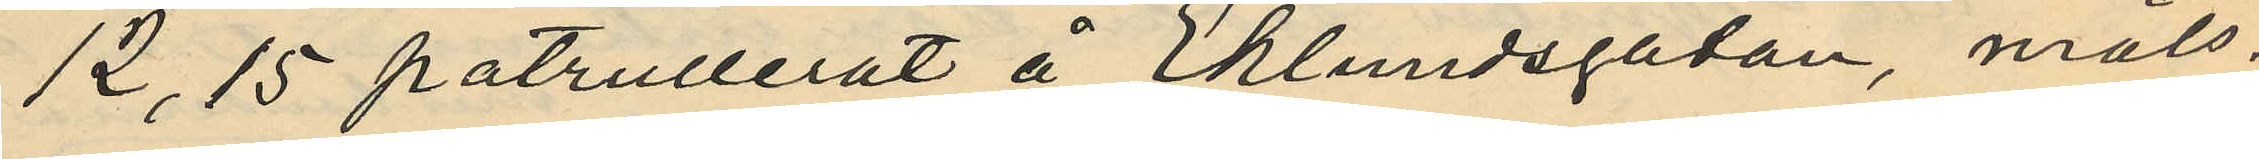12,15 patrullerat å Eklundsgatan, måls¬
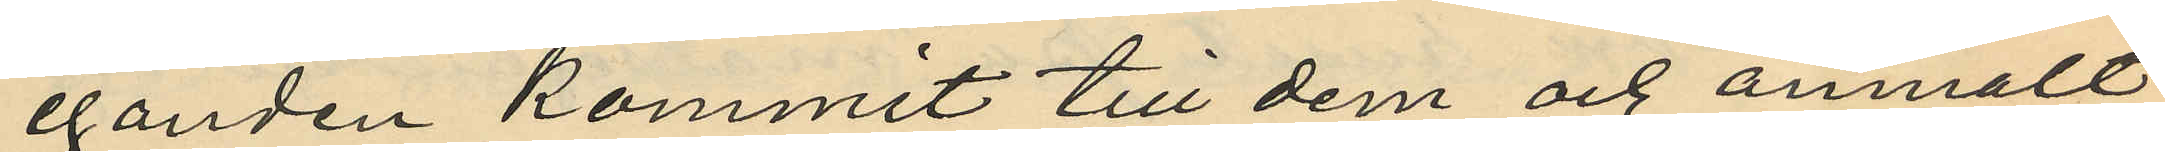eganden kommit till dem och anmält
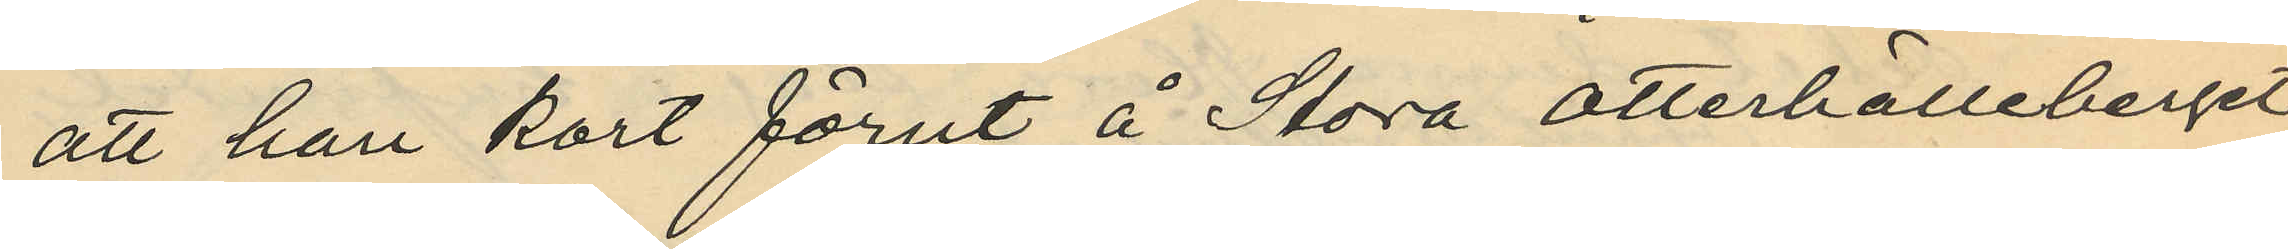att han kort förut å Stora Otterhälleberget
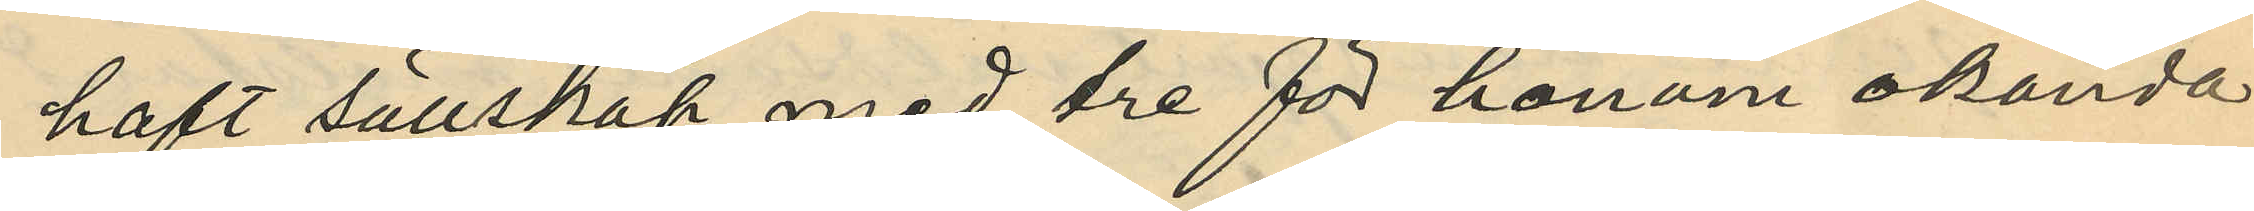haft sällskap med tre för honom okända
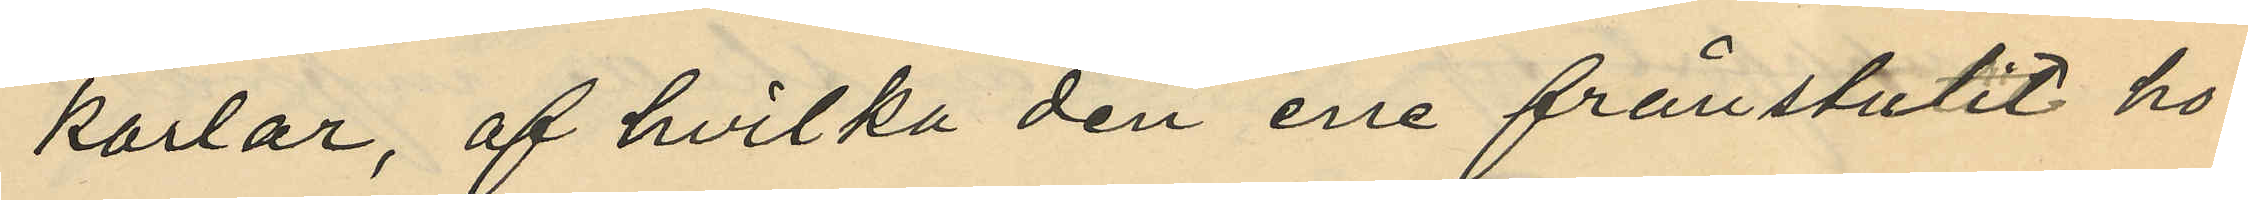karlar, af hvilka den ene frånstulit ho¬
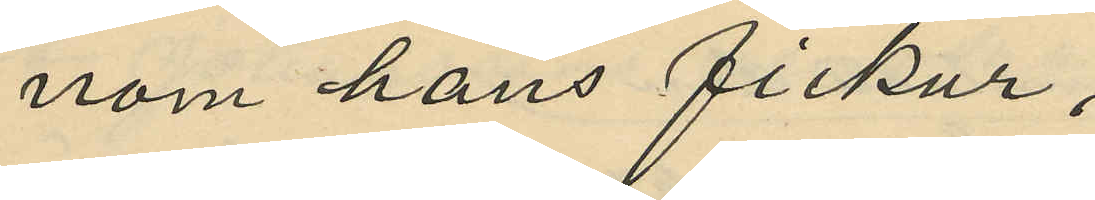nom hans fickur,
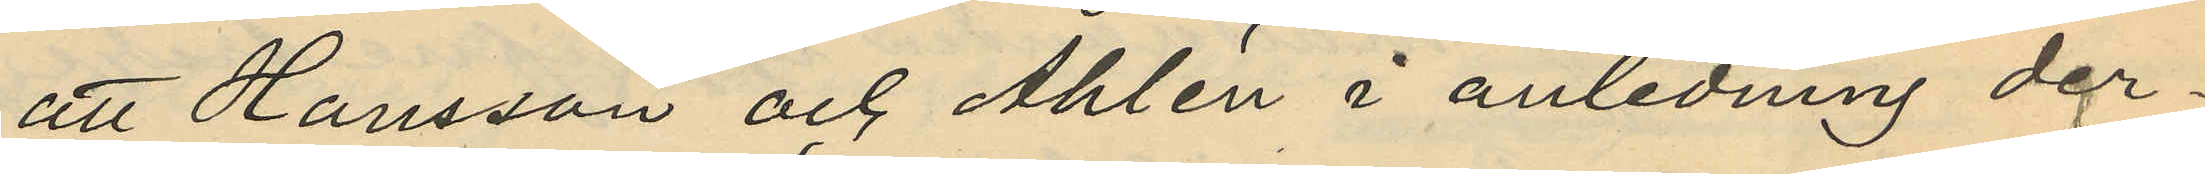att Hansson och Ahlén i anledning der¬
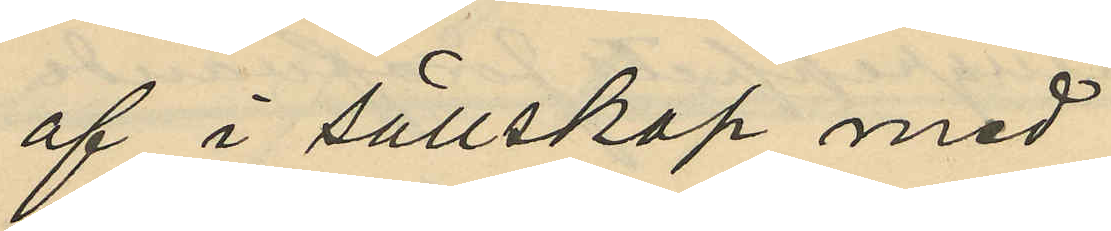af i sällskap med
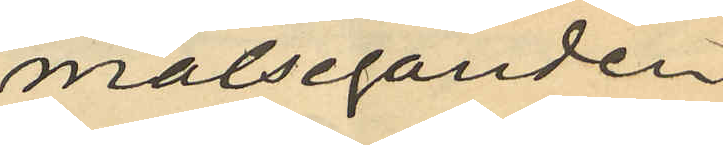målseganden
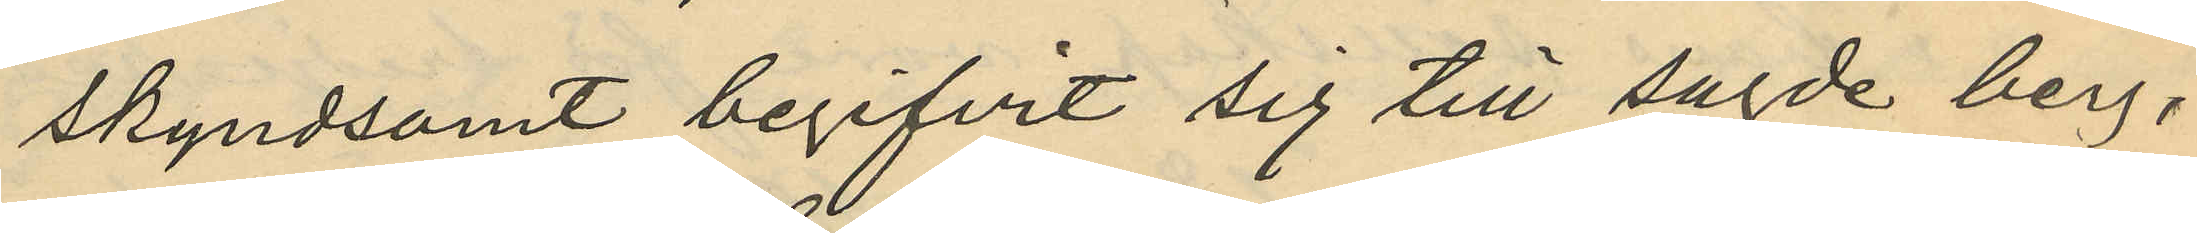skyndsamt begifvit sig till sagde berg,
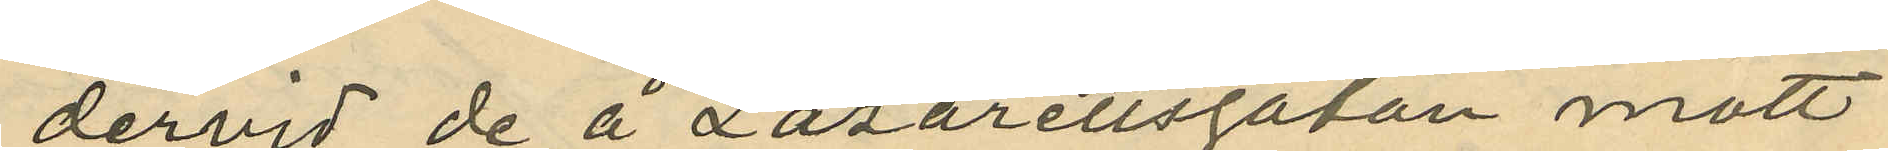dervid de å Lazarettsgatan mött
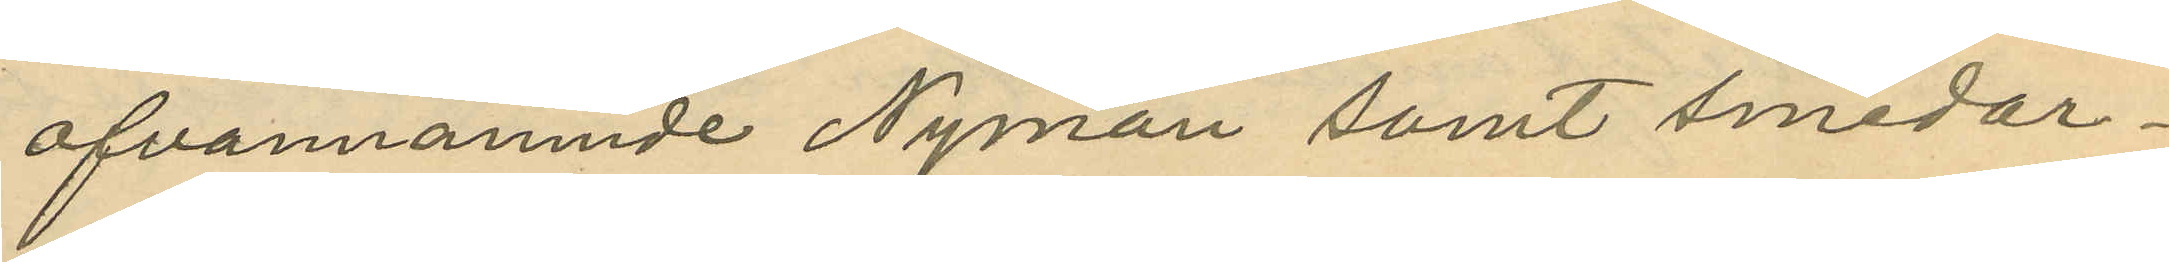ofvannämnde Nyman samt smedar¬
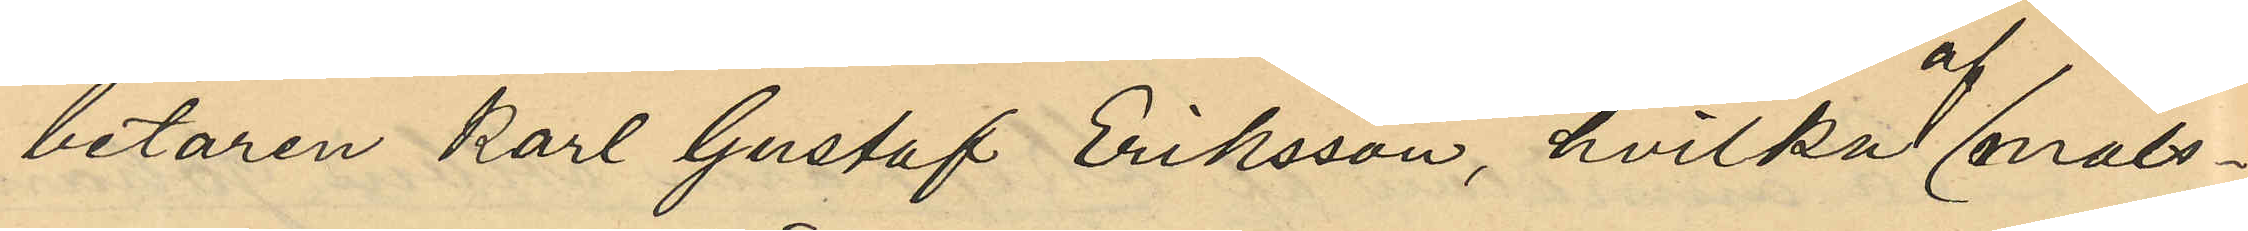betaren Karl Gustaf Eriksson, hvilka af måls¬
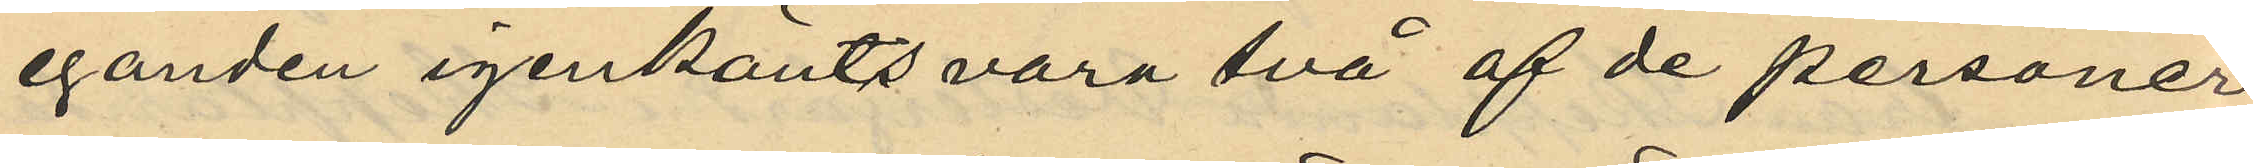eganden igenkänts vara två af de personer
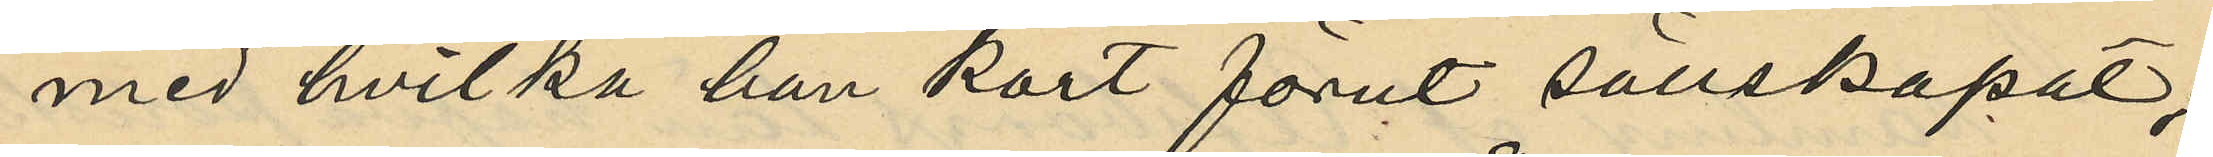med hvilka han kort förut sällskapat;
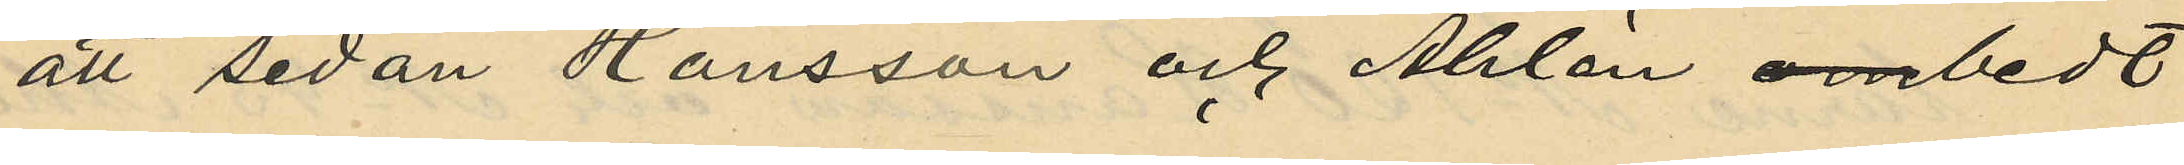att sedan Hansson och Åhlén ombedt
